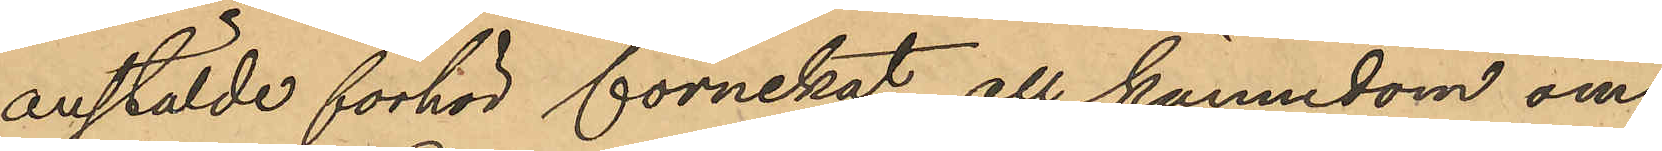anstälde förhör förnekat all kännedom om
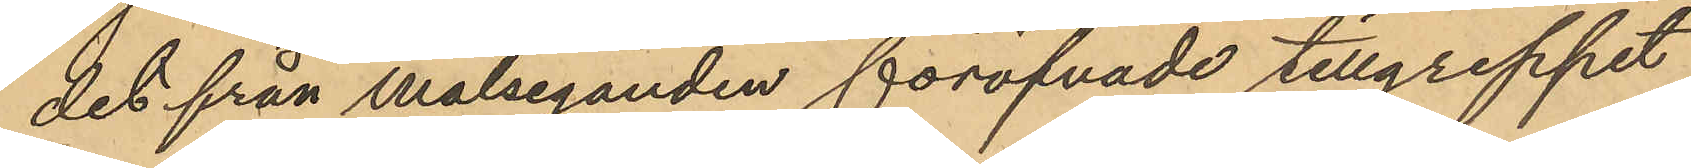det från målseganden föröfvade tillgreppet,
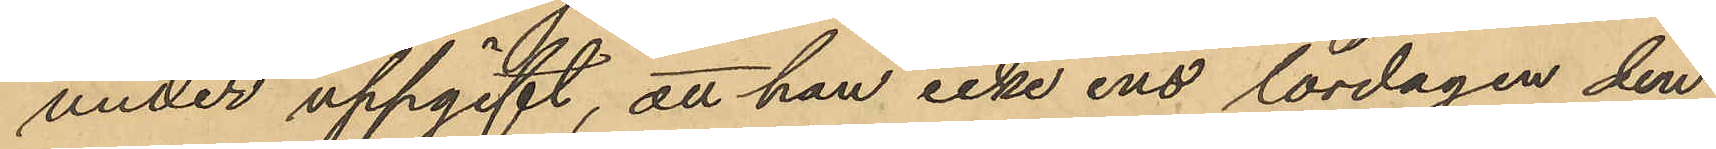under uppgift, att han icke ens lördagen den
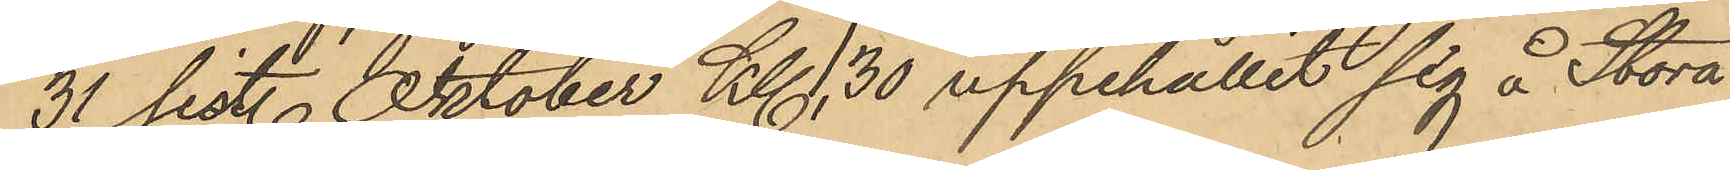31 sist. Oktober Kl. 1.30 uppehållit sig å Stora
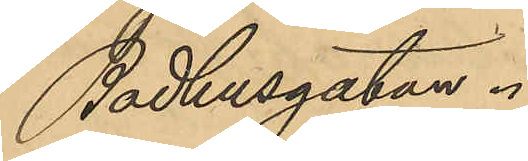Badhusgatan.
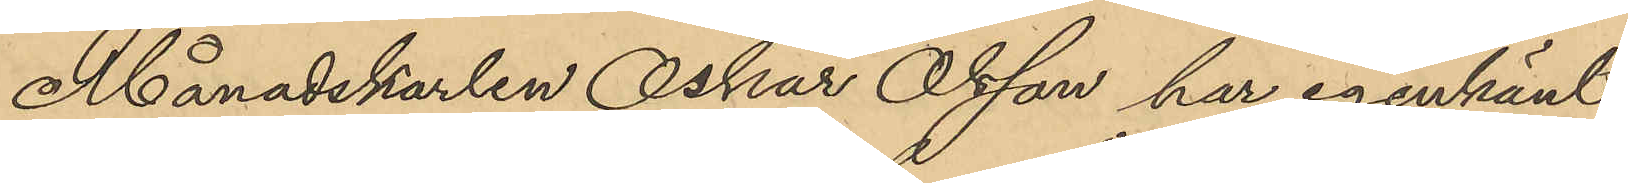Månadskarlen Oskar Olsson har igenkänt
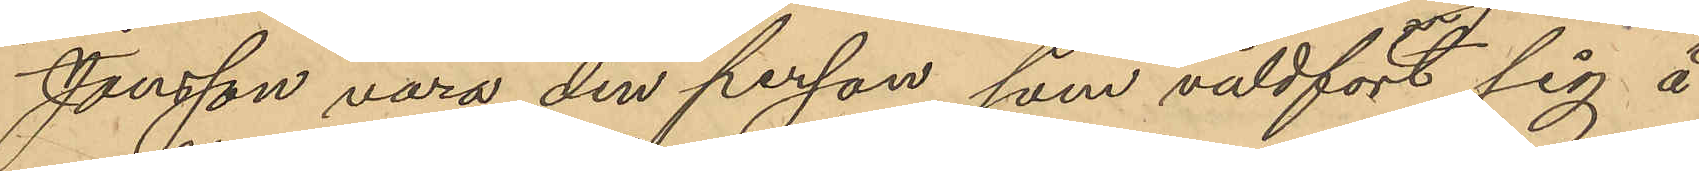Jonsson vara den person, som våldfört sig å
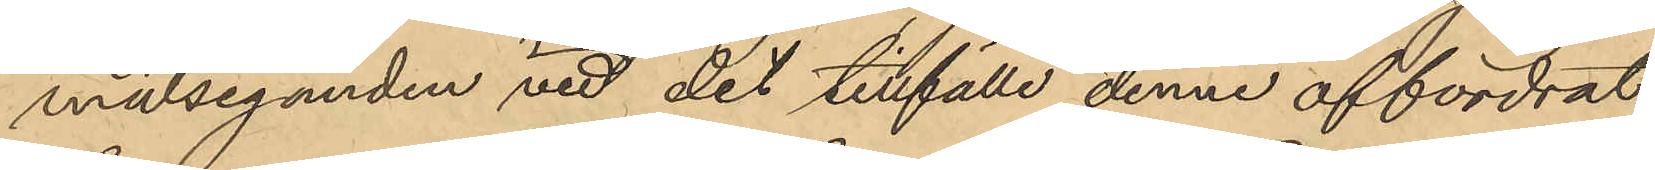målseganden vid det tillfälle denne affordrat
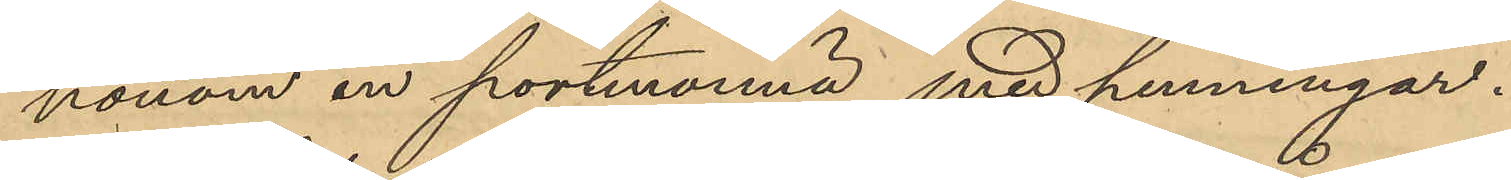honom en portmonnä med penningar.
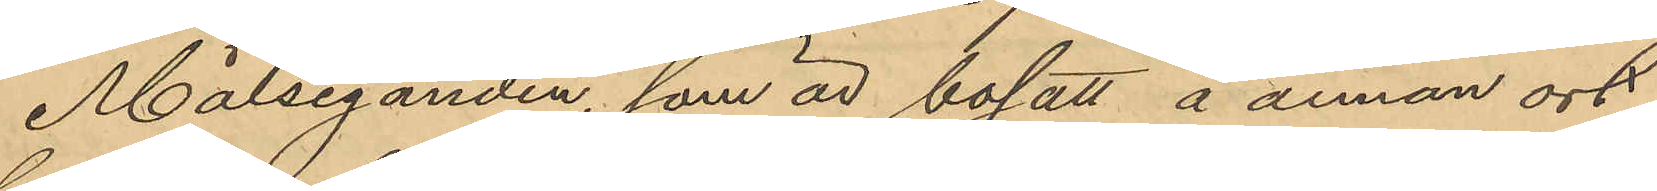Målseganden, som är bosatt å annan ort
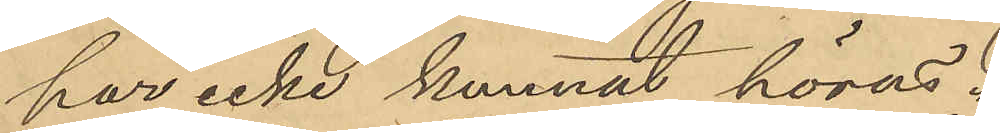har icke kunnat höras.
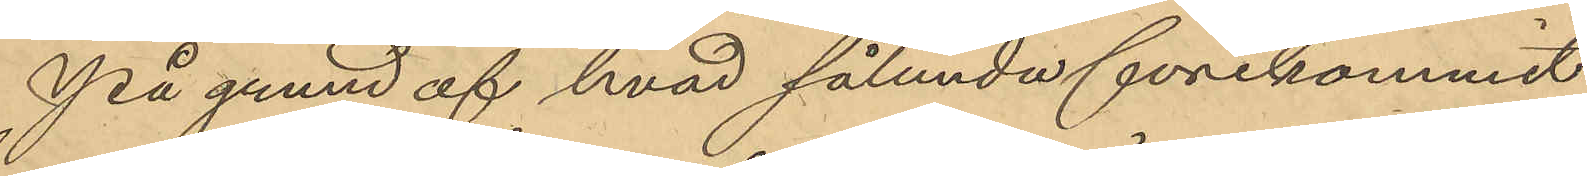På grund af hvad sålunda förekommit
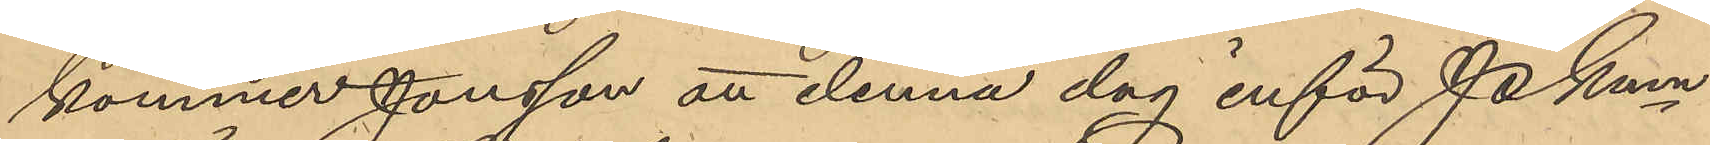kommer Jonsson att denna dag inför PKmn
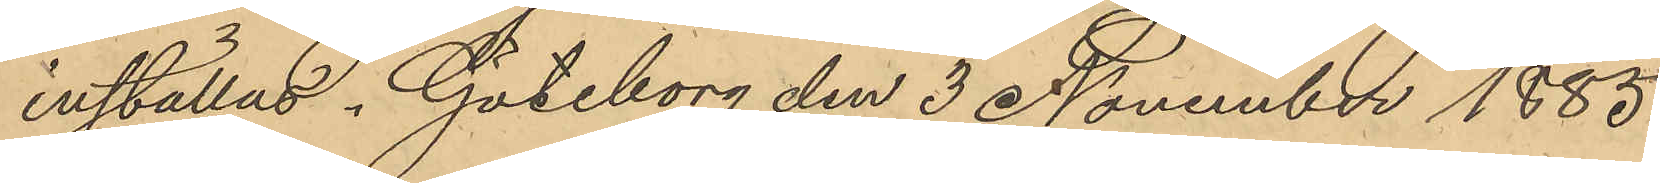inställas. Göteborg den 3 November 1885.
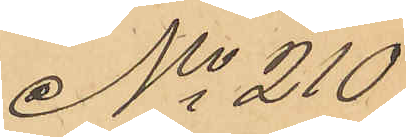No 210
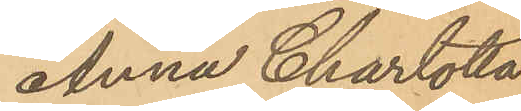Anna Charlotta
